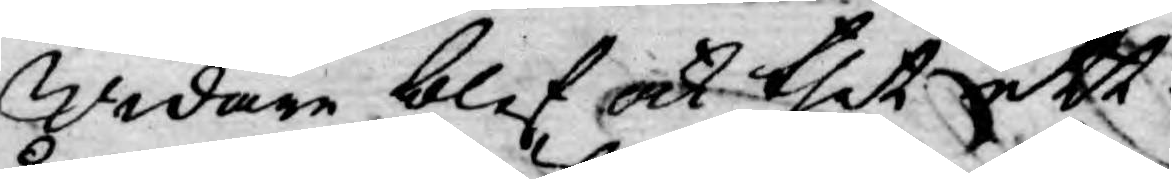Widare blef ock thet ett
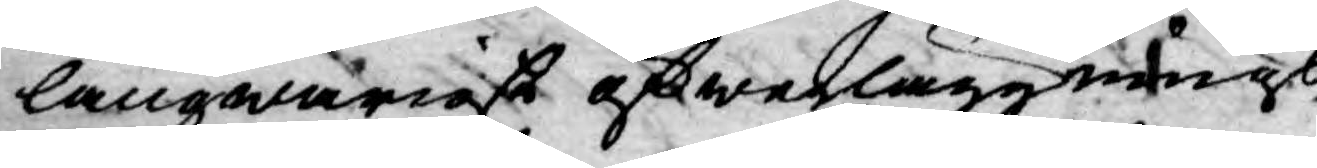långwarigt öfwerläggnings
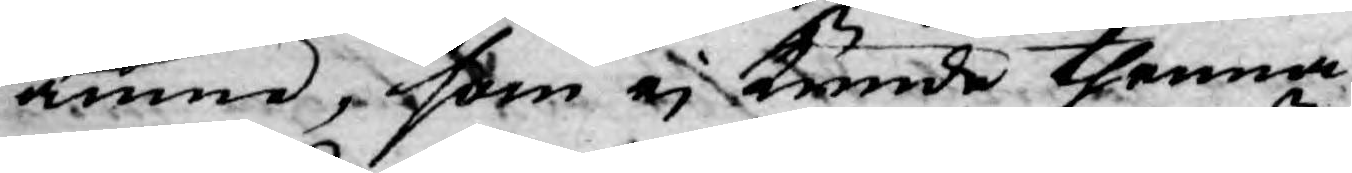ämne, som ej kunde thenna
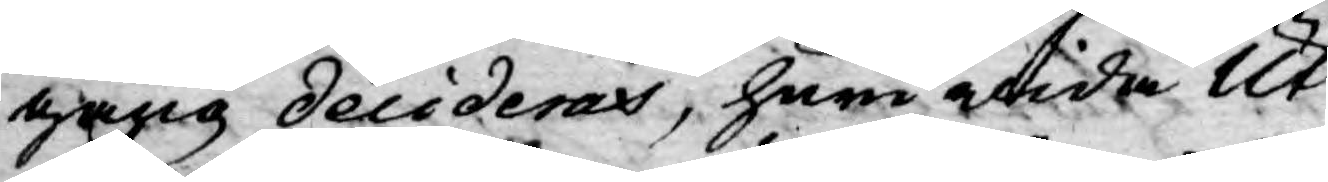gång decideras, huruwida Ut¬
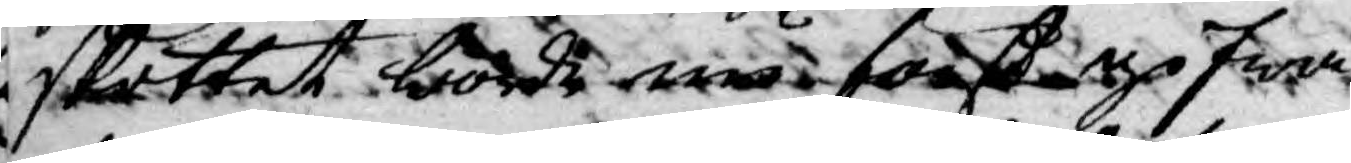skottet borde må först gifwa
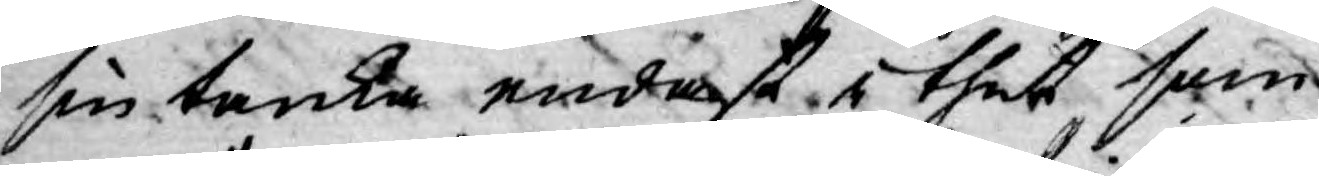sin tanka endast i thet som
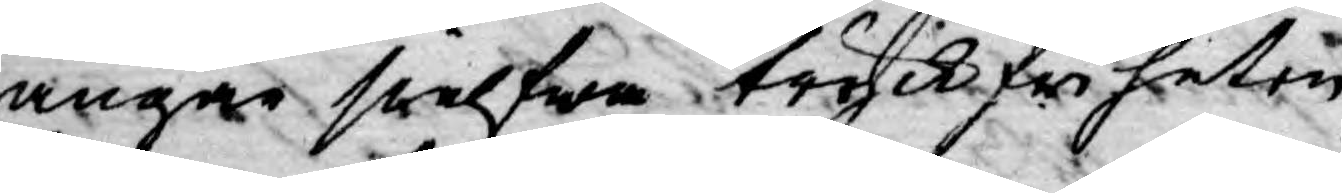angår sielfwa tryckfriheten,
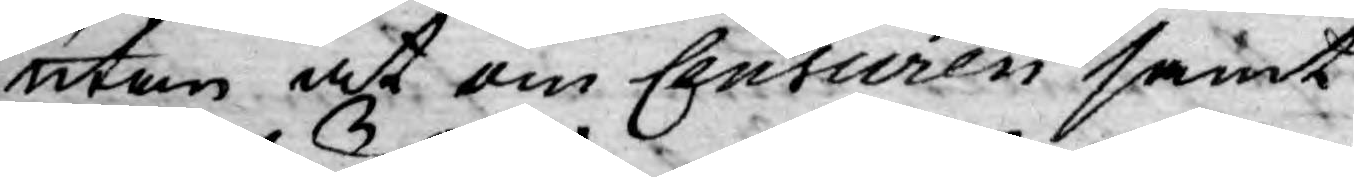utan at om Censuren samt
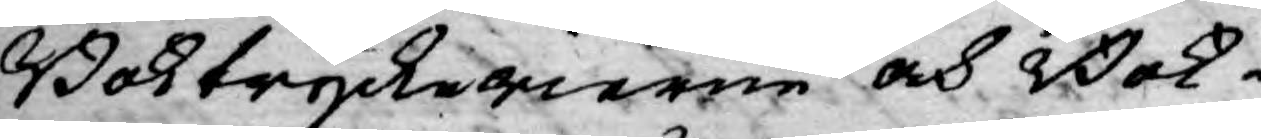Boktryckerierne och Bok¬
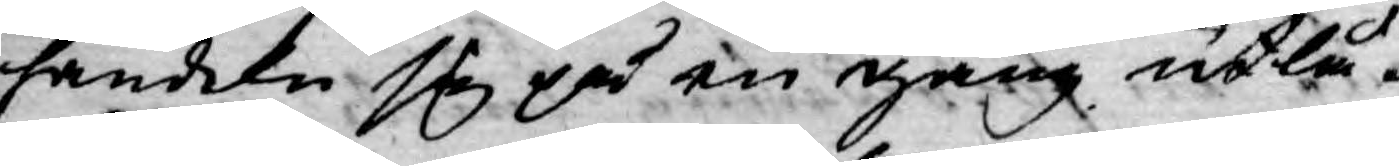handeln sig på en gång utlå¬
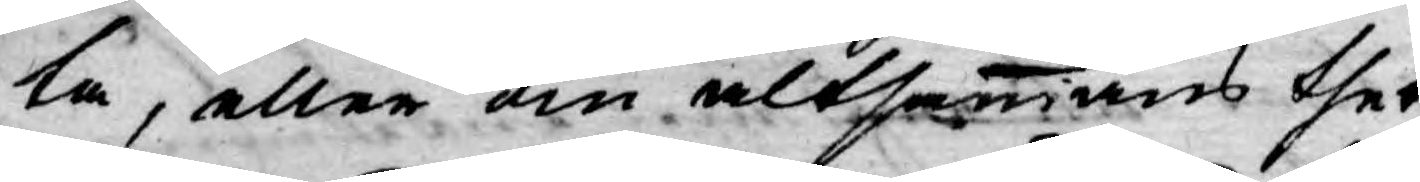ta, eller om altsammans thet
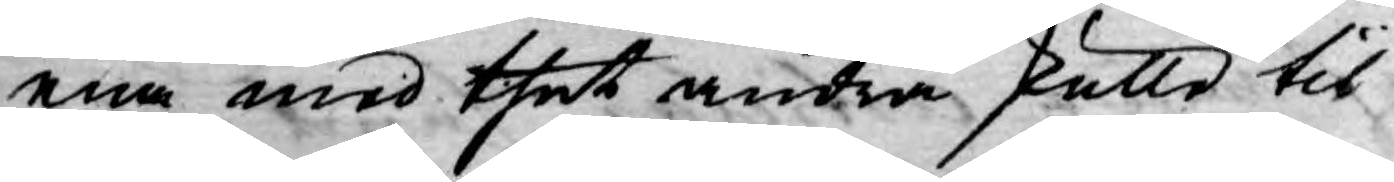ena med thet andra skulle til
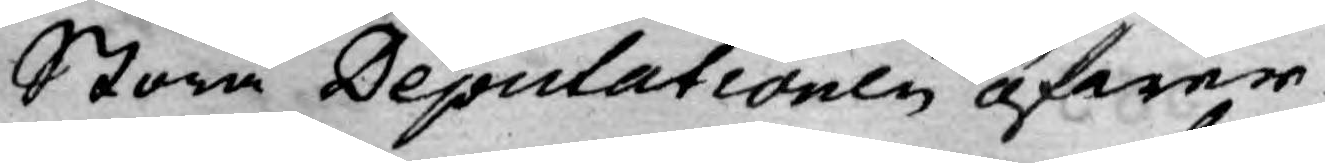Stora Depulationen öfwer¬
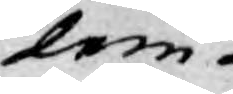lem¬
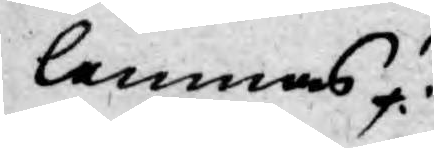lemnas?
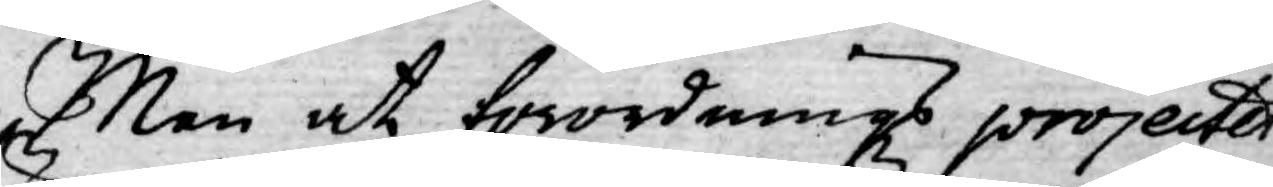Men at förordnings projectet
